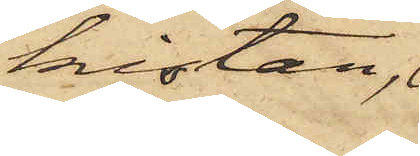kistan,
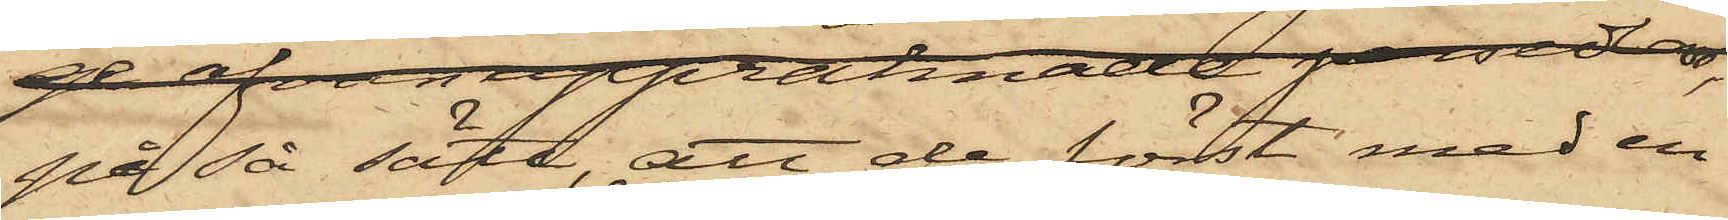på så sätt, att de först med en
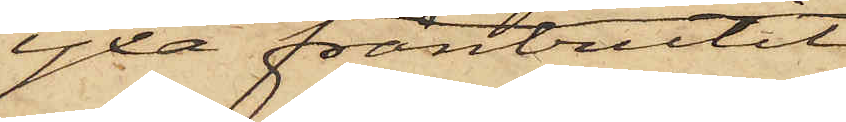yxa frånbrutit
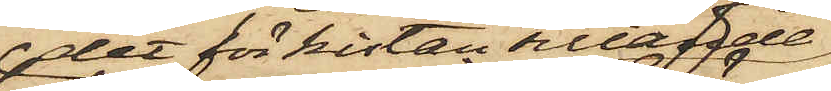det för kistan sittade
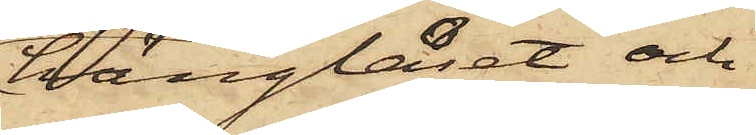hänglåset och
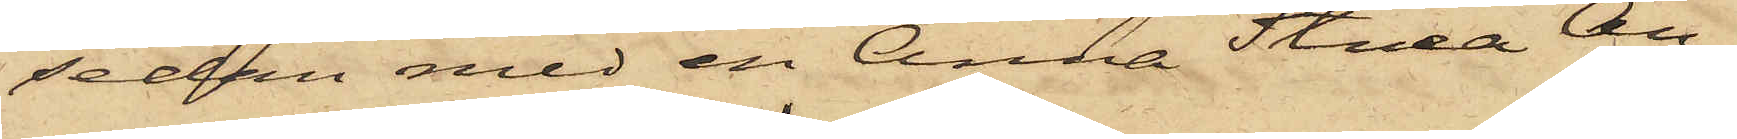sedan med en Anna Stina An¬
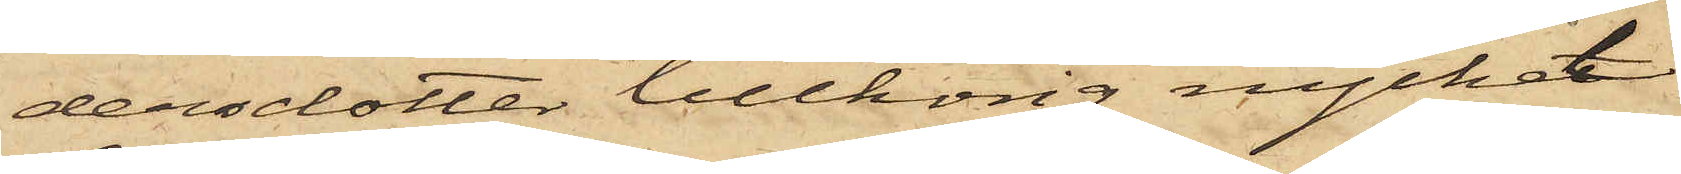dersdotter tillhörig nyckel
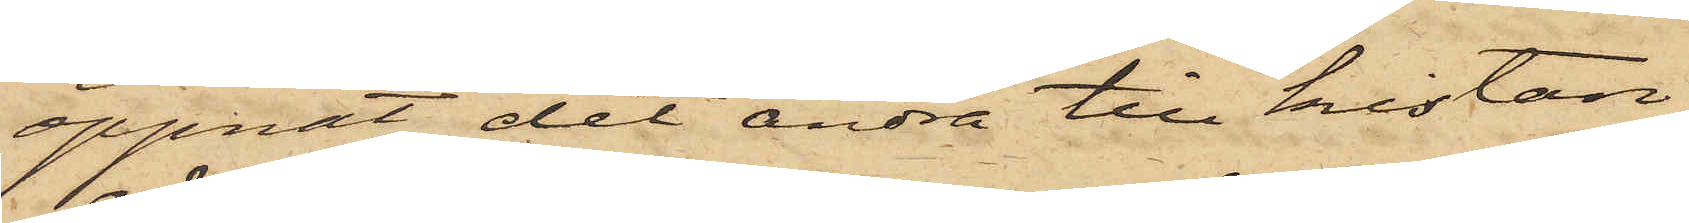öppnat det andra till kistan
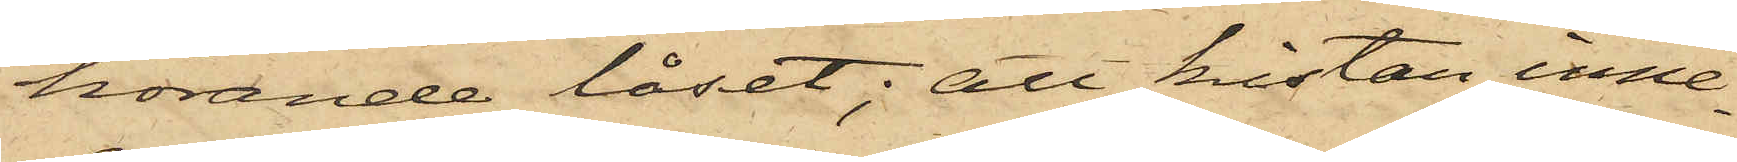hörande låset; att kistan inne¬
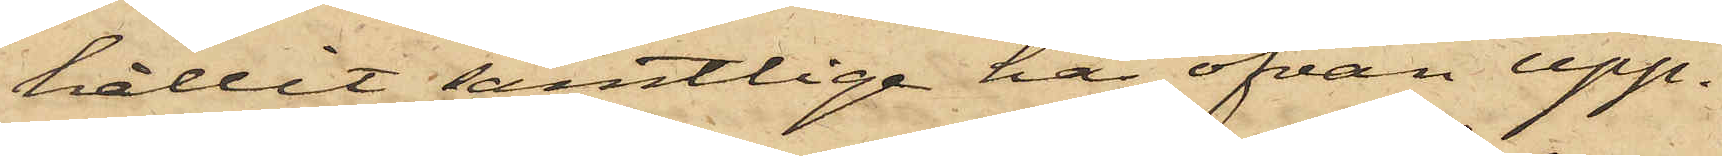hållit samtlige här ofvan upp¬
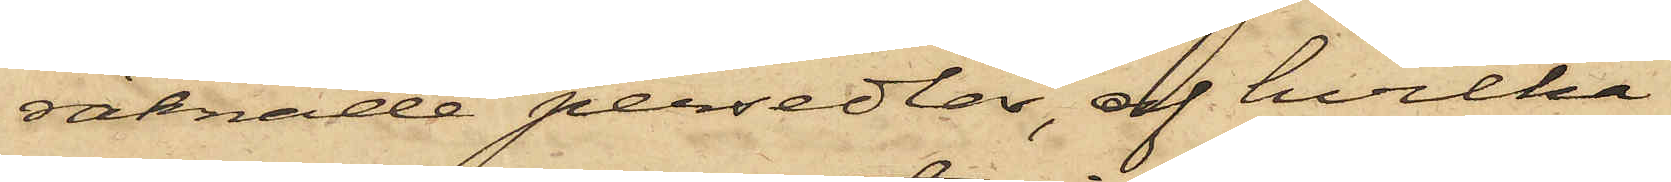räknade persedlar, af hvilka
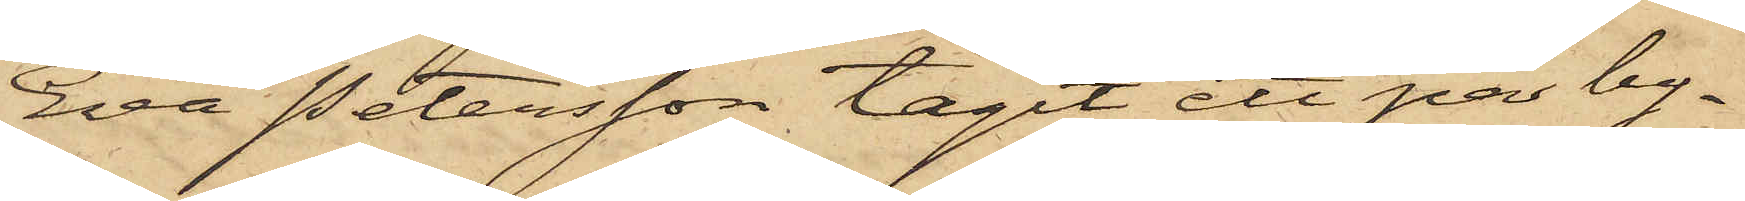Eva Petersson tagit ett par by¬
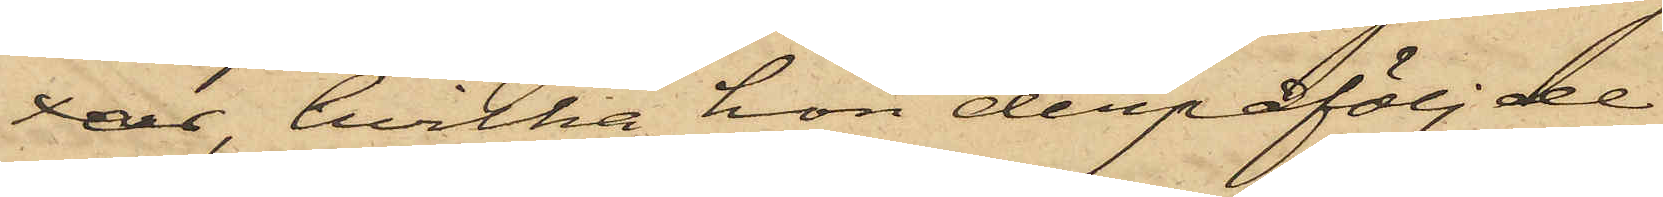xor, hvilka hon derpåföljde
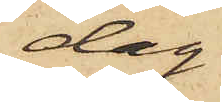dag
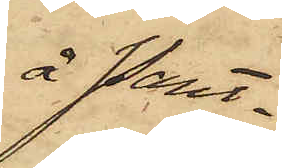å Pant¬
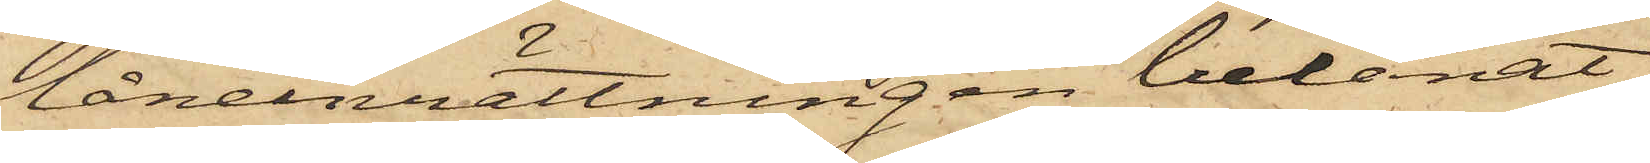låneinrättningen belånat
